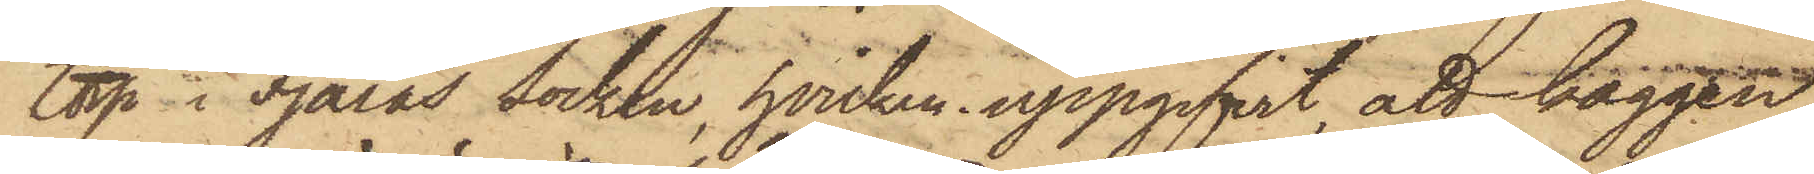torp i Fjärås Socken, hvilken uppgifvit att kaggen
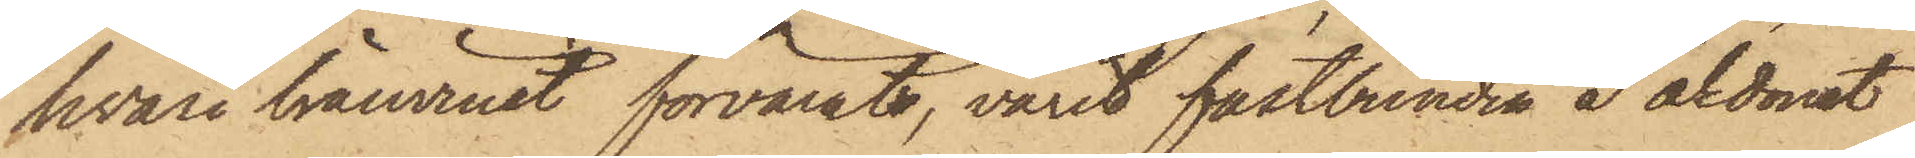hvari bränvinet förvarats, varit fästbunden å åkdonet
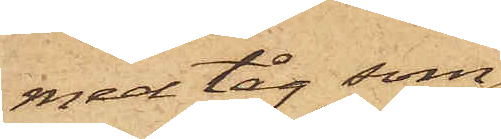med tåg som
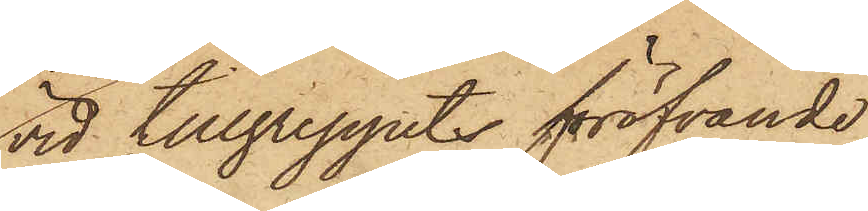vid tillgreppet föröfvande
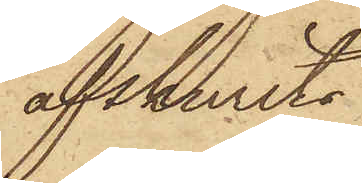afskurits.
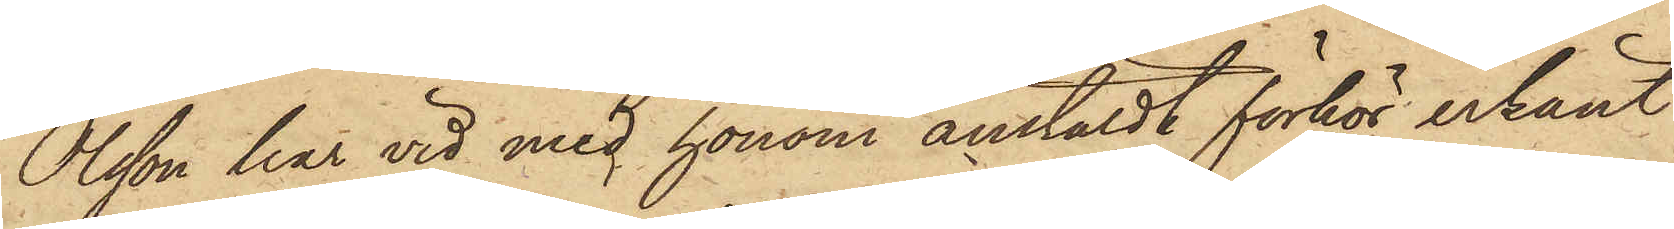Olsson har vid med honom anstäldt förhör erkänt
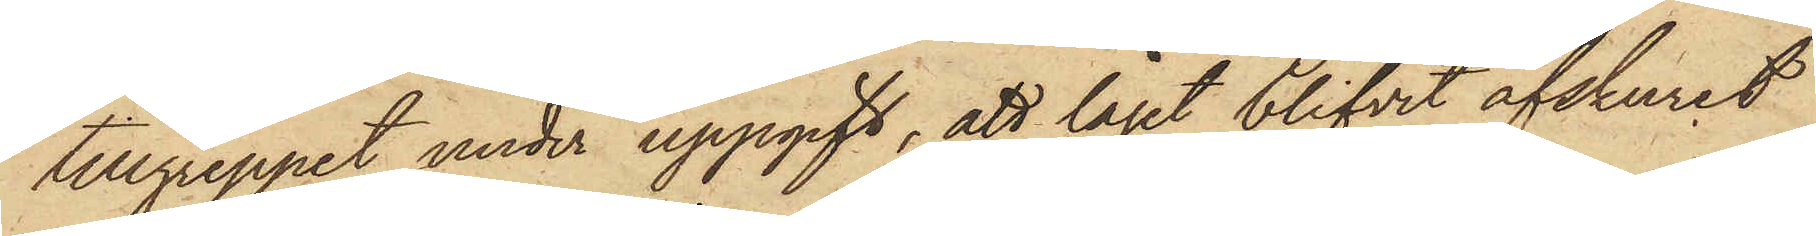tillgreppet, under uppgift, att tåget blifvit afskurit
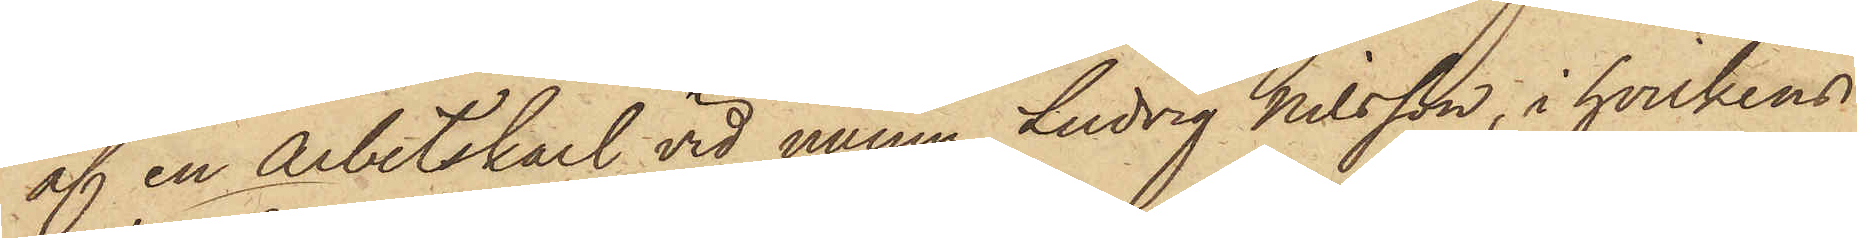af en arbetskarl vid namn Ludvig Nilsson, i hvilkens
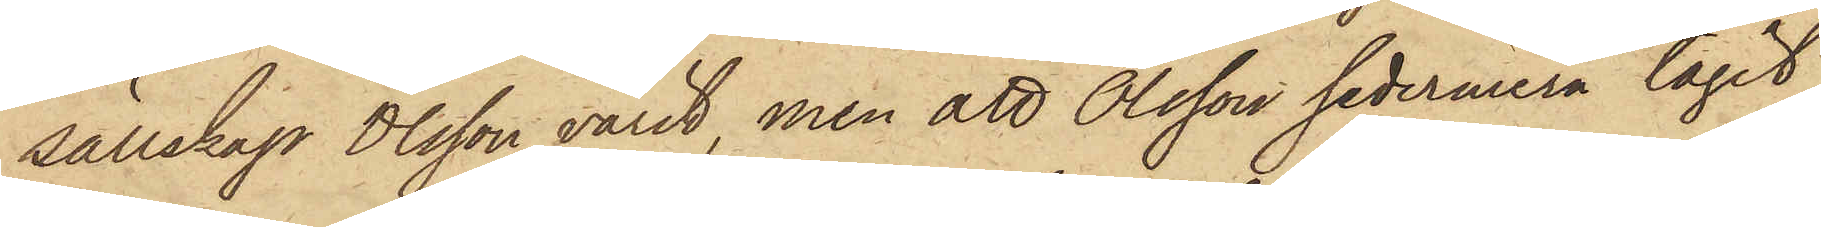sällskap Olsson varit, men att Olsson sedermera tagit
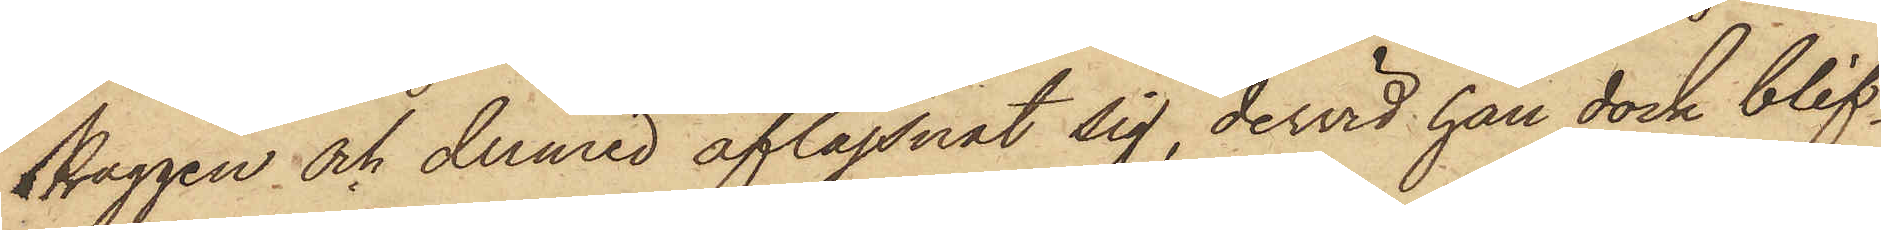Kaggen och dermed aflägsnat sig, dervid han dock blif¬
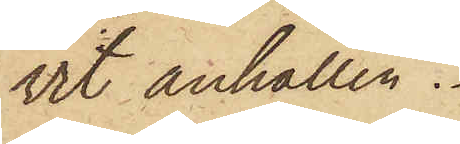vit anhållen.
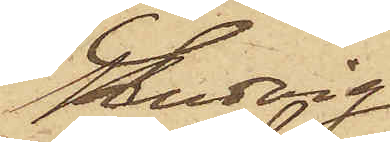Ludvig
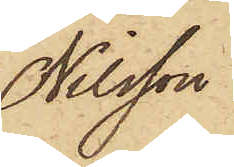Nilsson
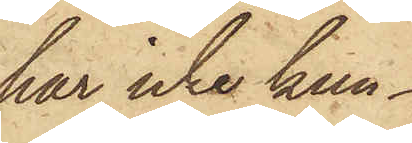har icke kun¬
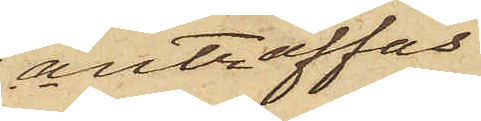anträffas.
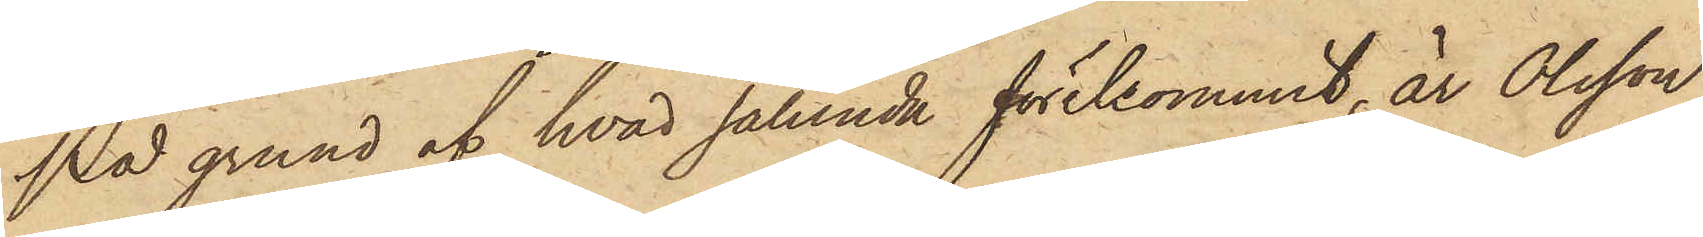På grund af hvad sålunda förekommit, är Olsson
